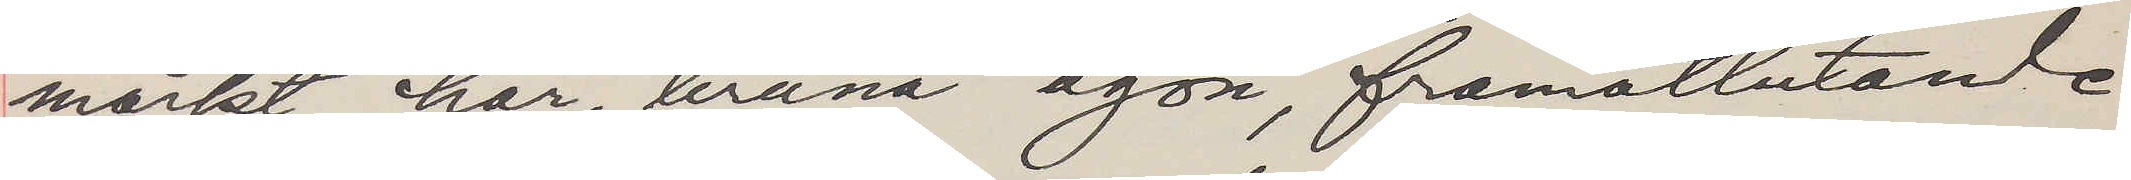mörkt hår, bruna ögon, framåtlutande
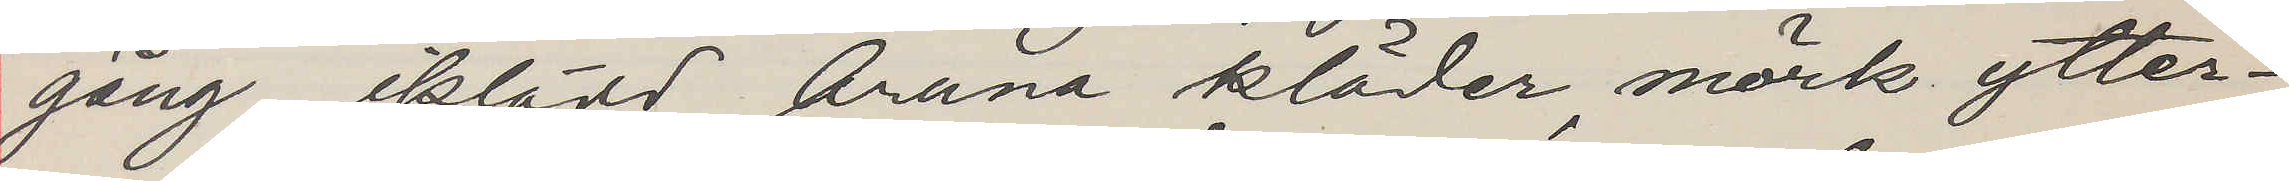gång, iklädd bruna kläder, mörk ytter¬
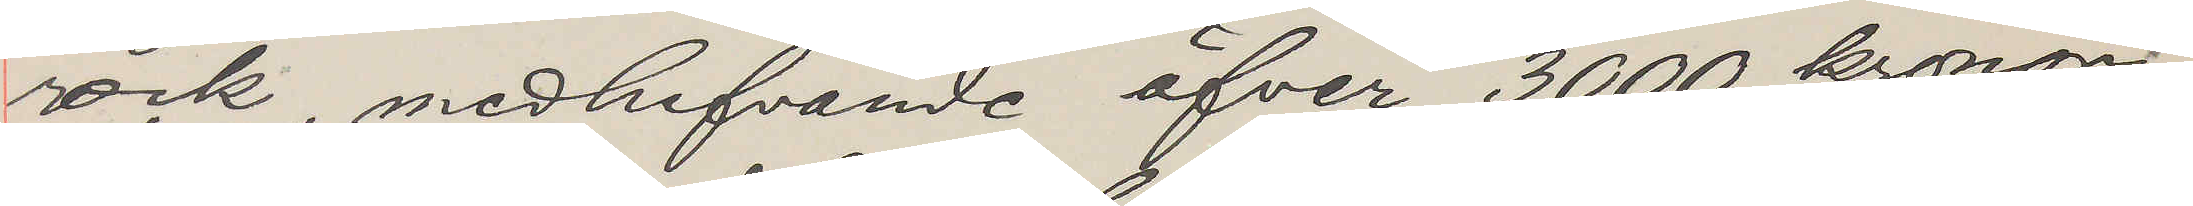rock, medhafvande öfver 3000 kronor,
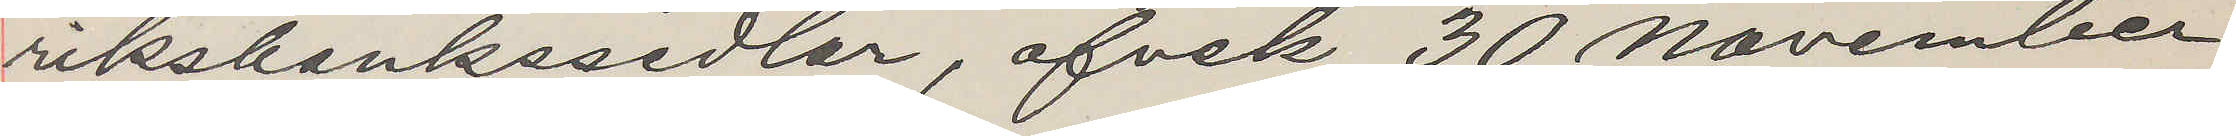riksbankssedlar, afvek 30 November
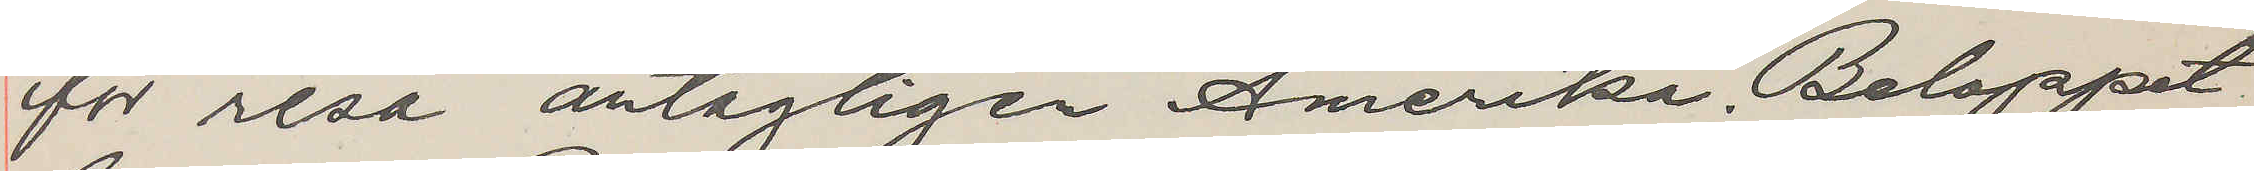för resa antagligen Amerika. Beloppet
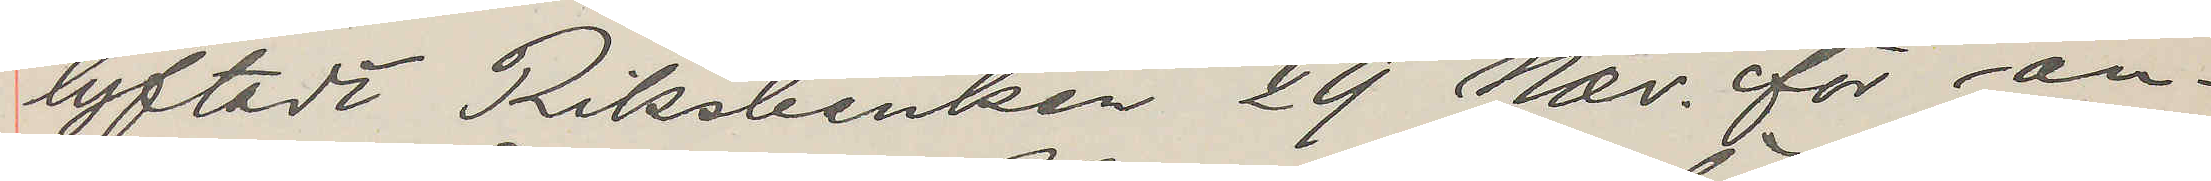lyftadt Riksbanken 29 Nov. för an¬
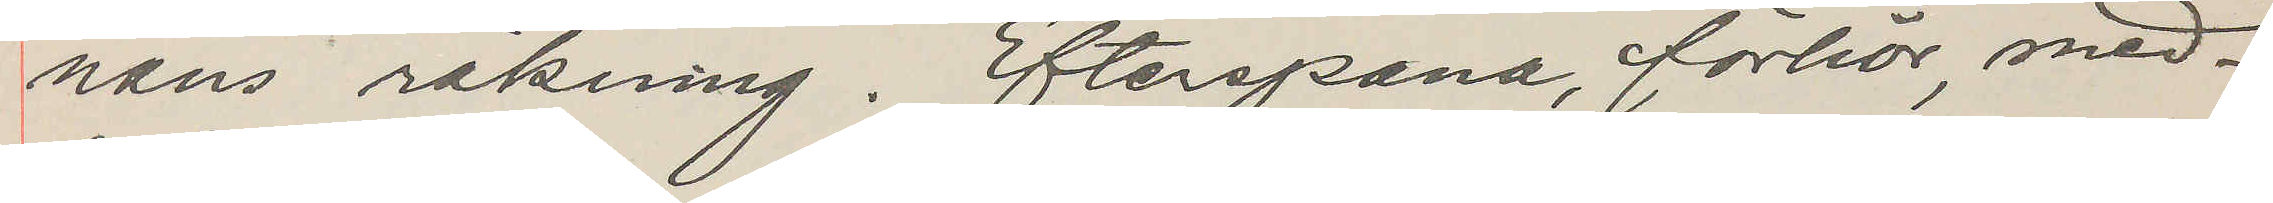nans räkning. Efterspana, förhör, med¬
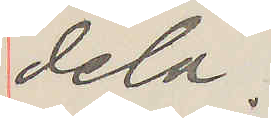dela.
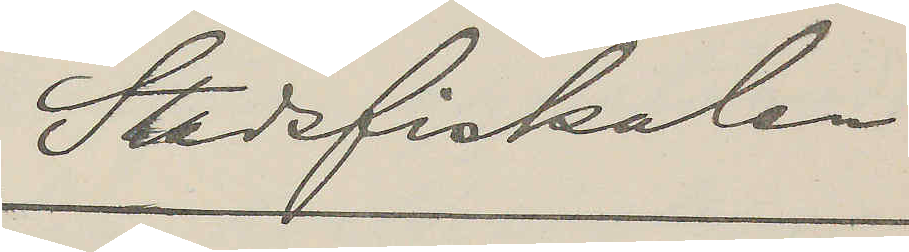Stadsfiskalen
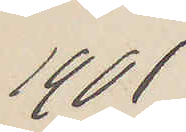1901
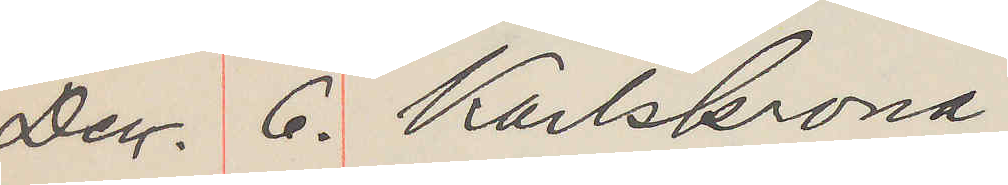Dec. 6. Karlskrona
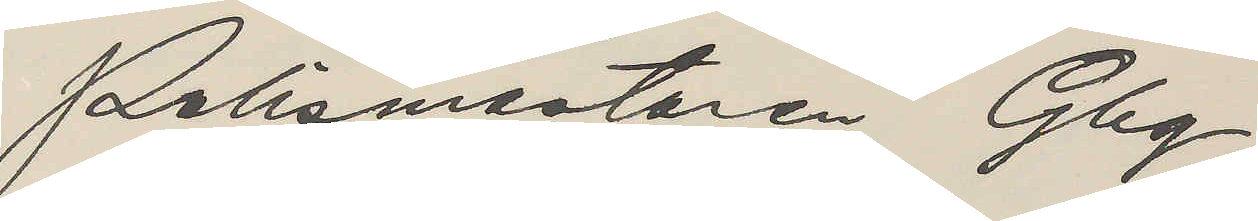Polismästaren Gbg.
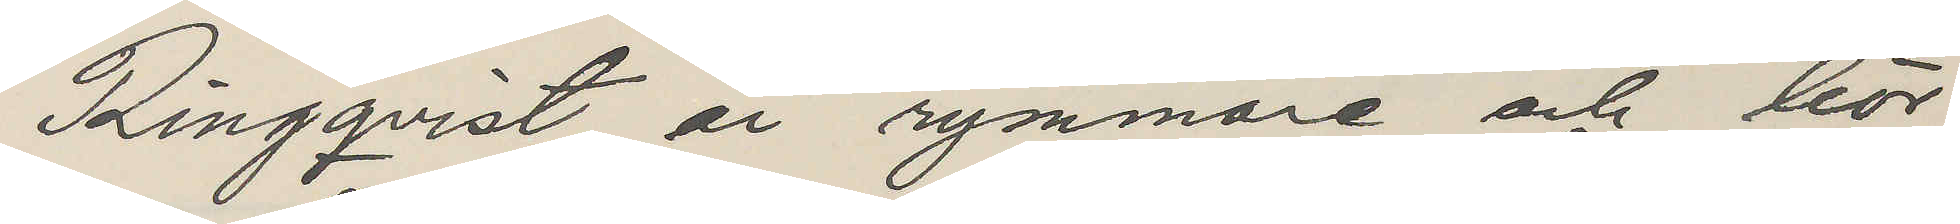Ringqvist är rymmare och bör
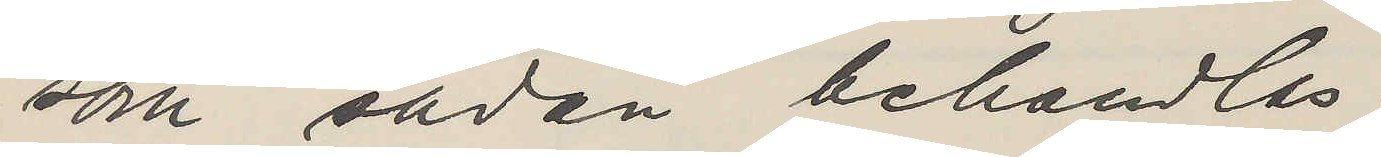som sådan behandlas.
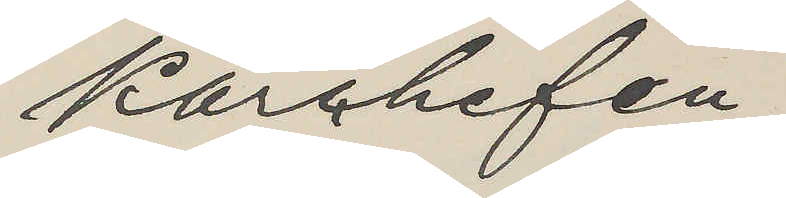Kårchefen.
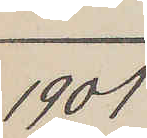1901
